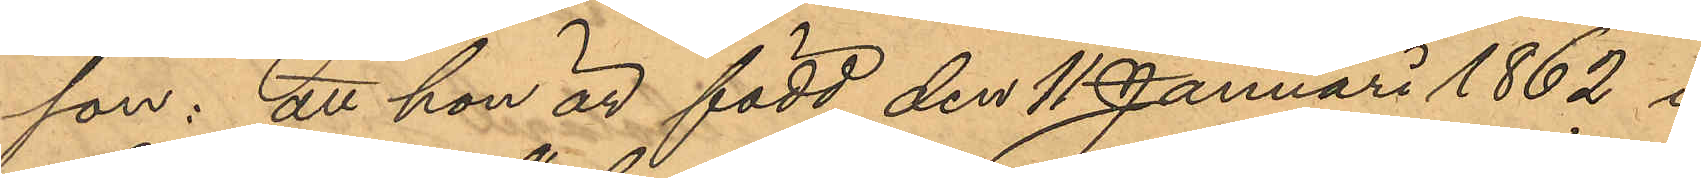son: att han är född den 11 Januari 1862 i
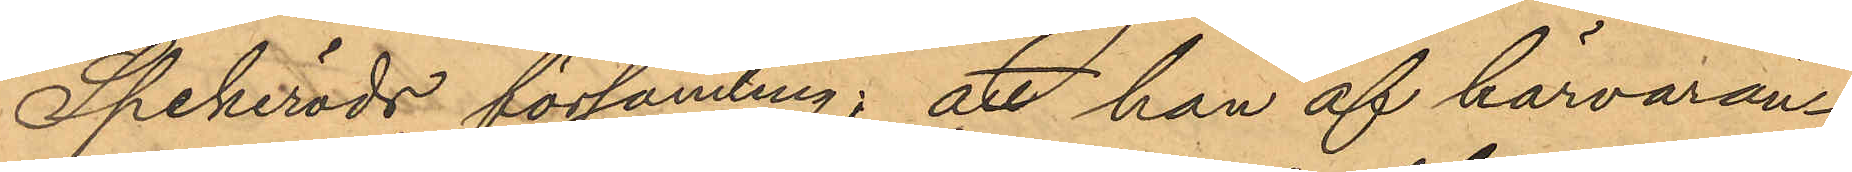Spekeröds församling; att han af härvaran¬
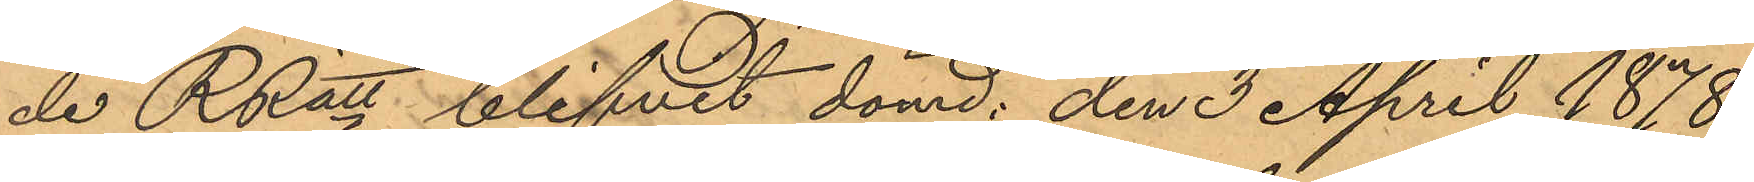de RRätt blifvit dömd: den 3 April 1878.
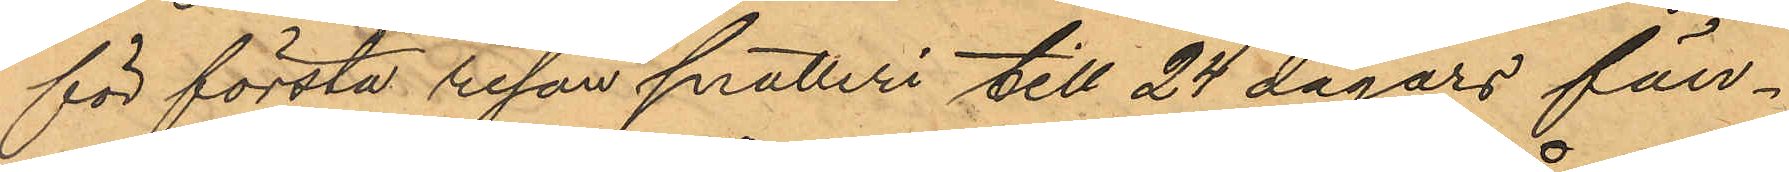för första resan snatteri till 24 dagars fän¬
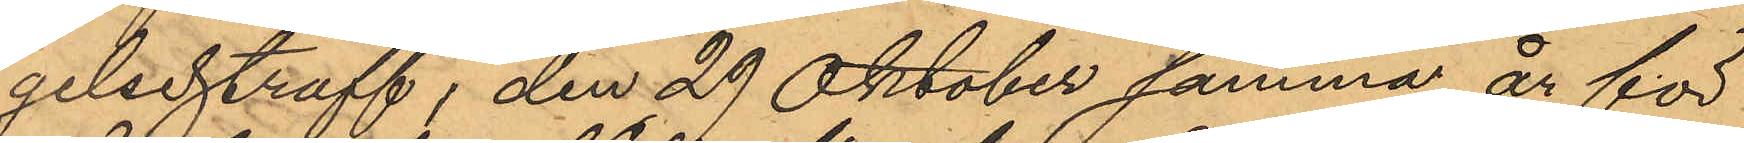gelsestraff, den 29 Oktober samma år för
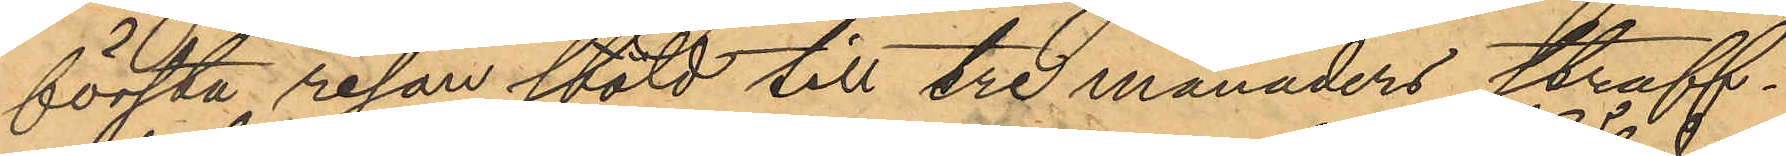första resan stöld till tre månaders straff¬
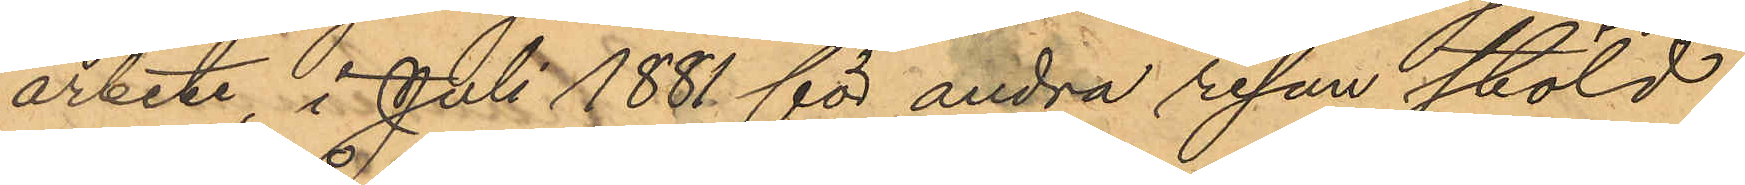arbete, i Juli 1881 för andra resan stöld
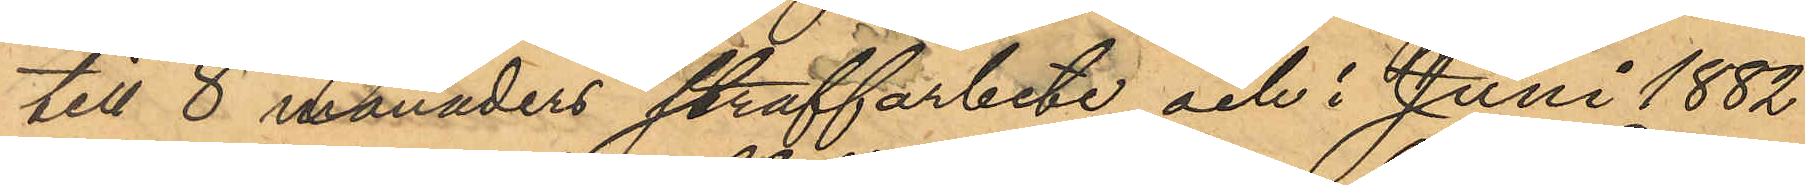till 8 månaders straffarbete och i Juni 1882
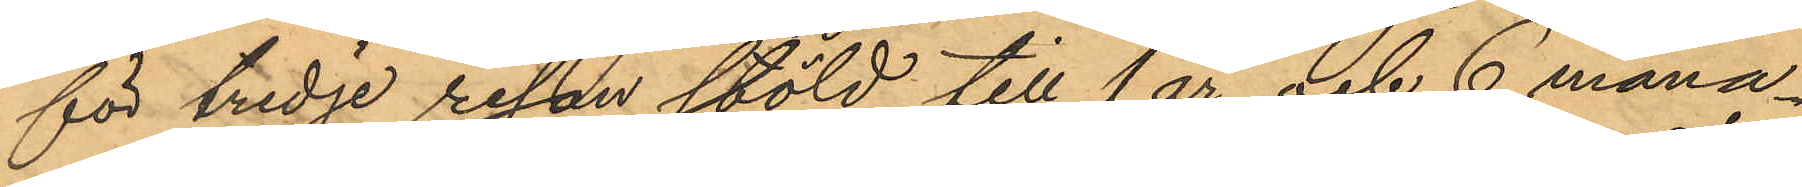för tredje resan stöld till 1 år och 6 måna¬
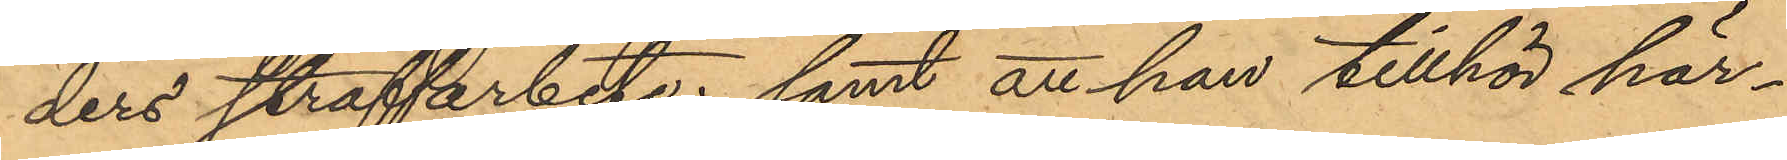ders straffarbete; samt att han tillhör här¬
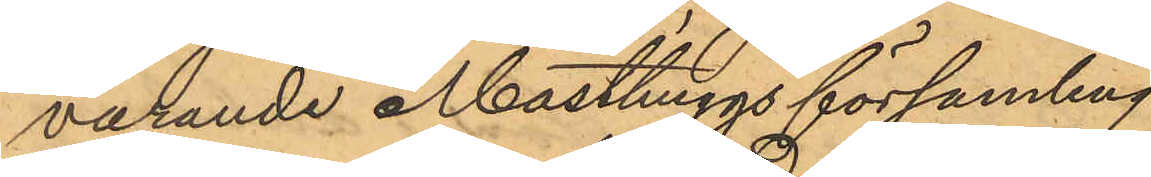varande Masthuggs församling.
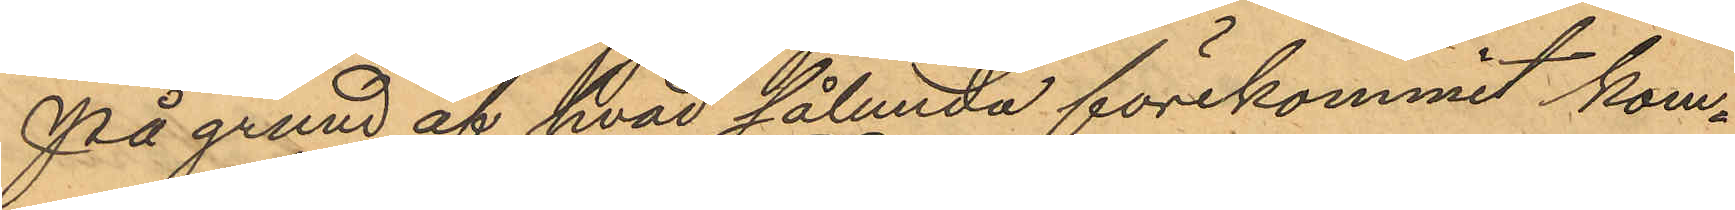På grund af hvad sålunda förekommit kom¬
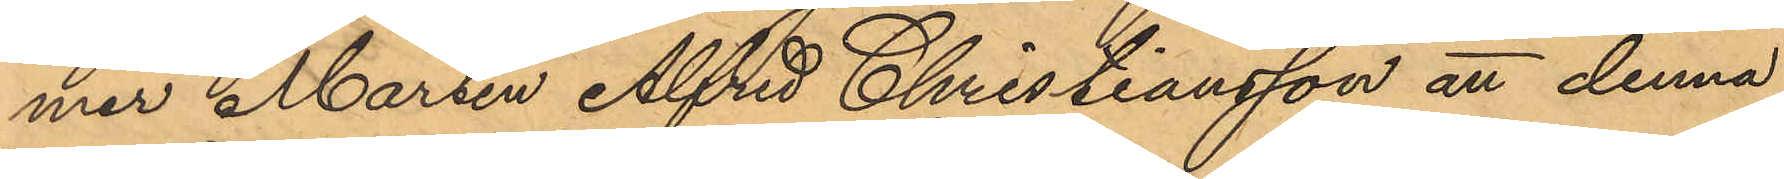mer Martin Alfred Christiansson att denna
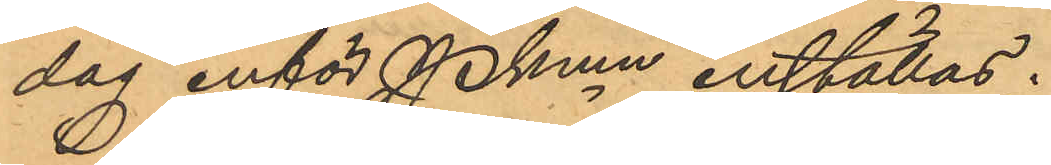dag inför Pkmn inställas.
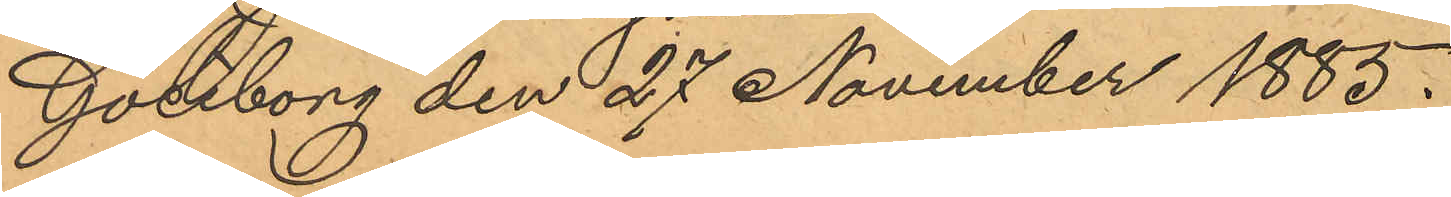Göteborg den 27 November 1885.
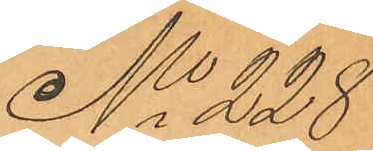No 228
